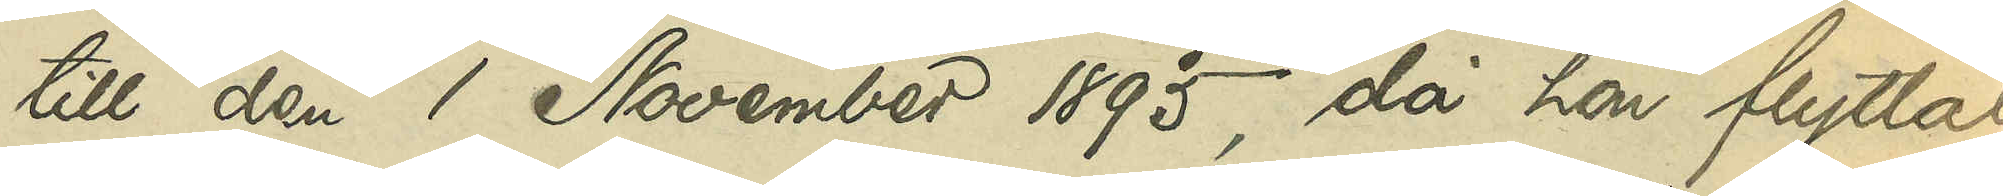till den 1 November 1895, då hon flyttat
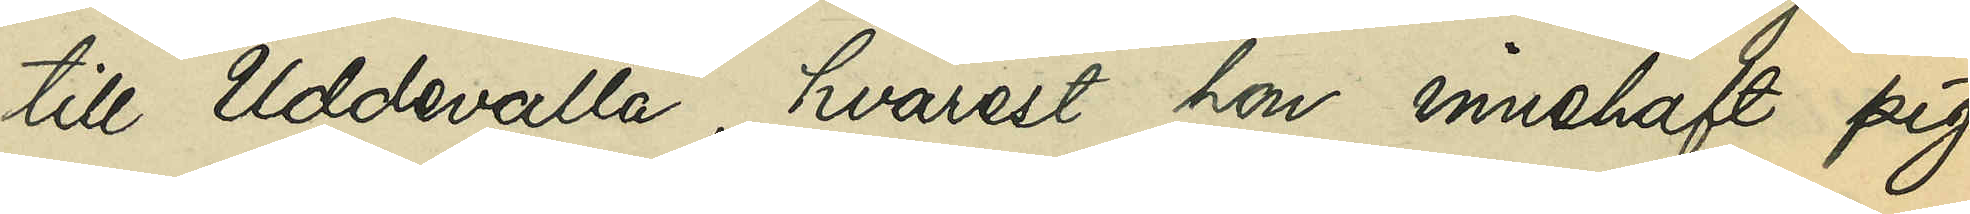till Uddevalla, hvarest hon innehaft pig¬
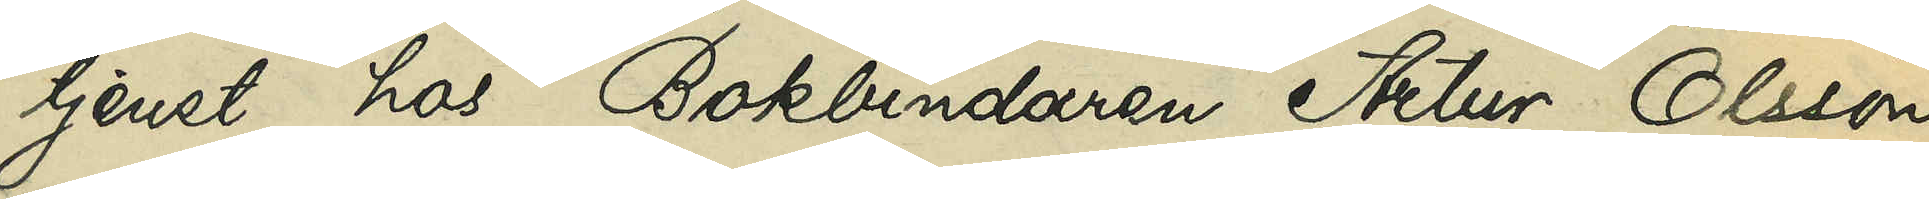tjenst hos Bokbindaren Artur Olsson
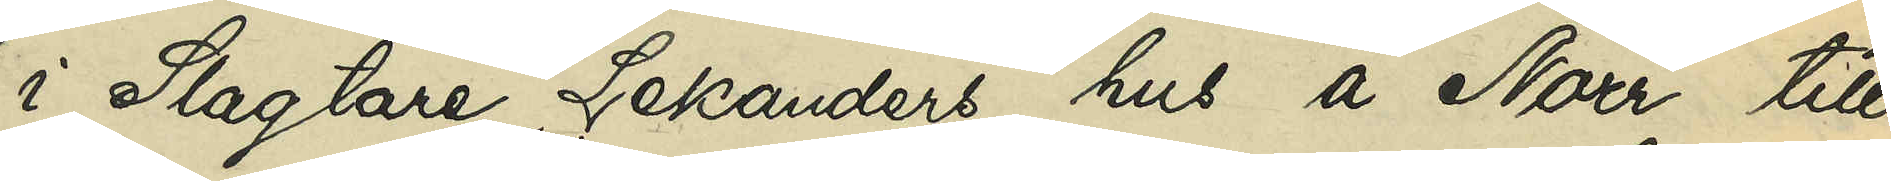i Slagtare Lekanders hus å Norr till
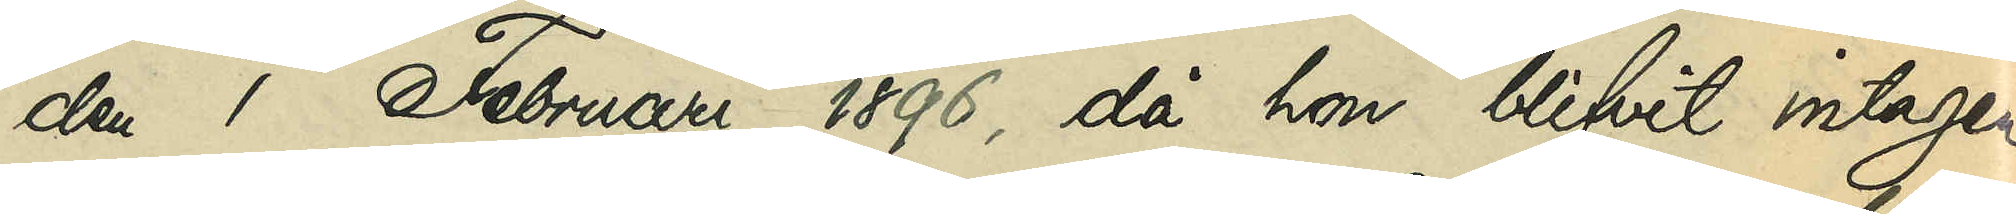den 1 Februari 1896, då hon blifvit intagen
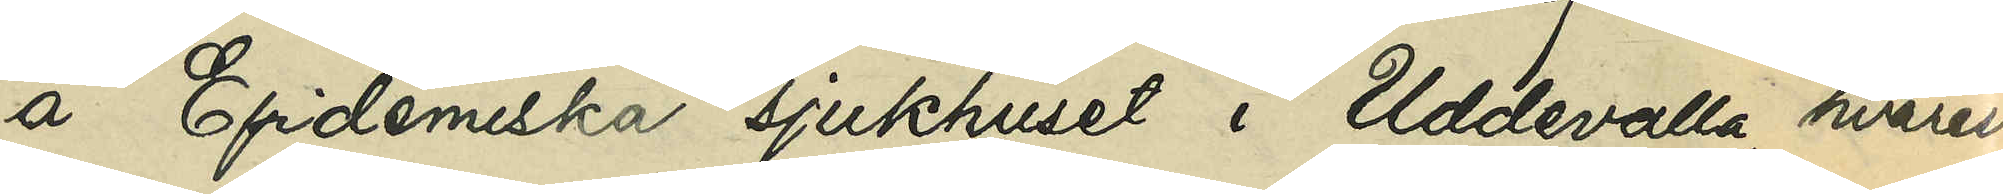å Epidemiska sjukhuset i Uddevalla, hvarest
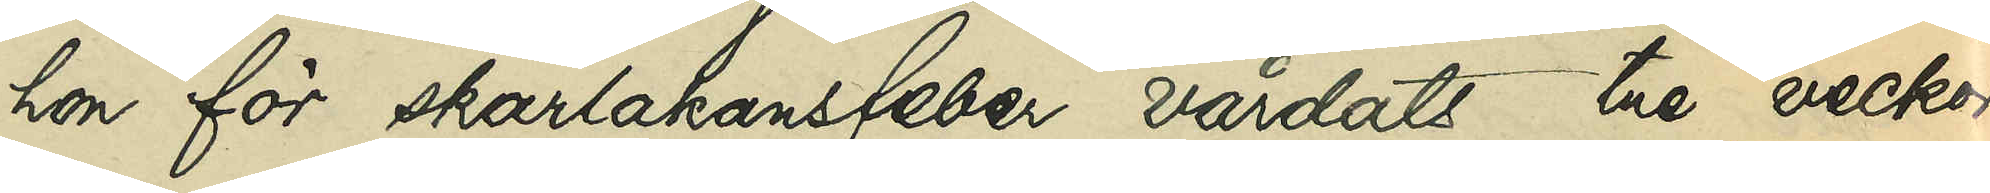hon för skarlakansfeber vårdats tre veckor,
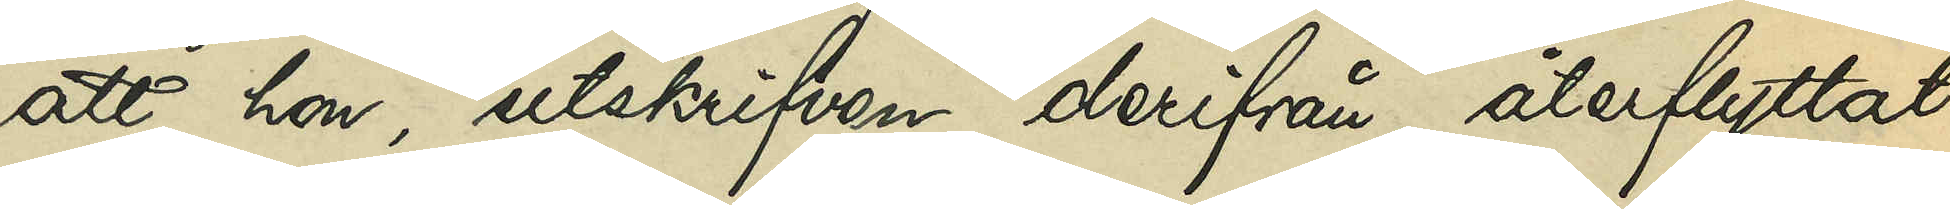att hon, utskrifven derifrån återflyttat
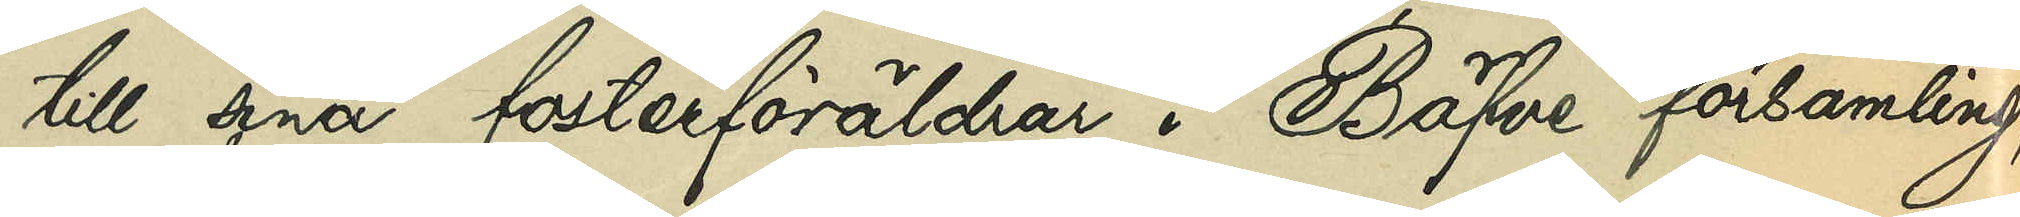till sina fosterföräldrar i Bäfve församling,
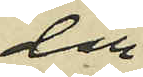der 
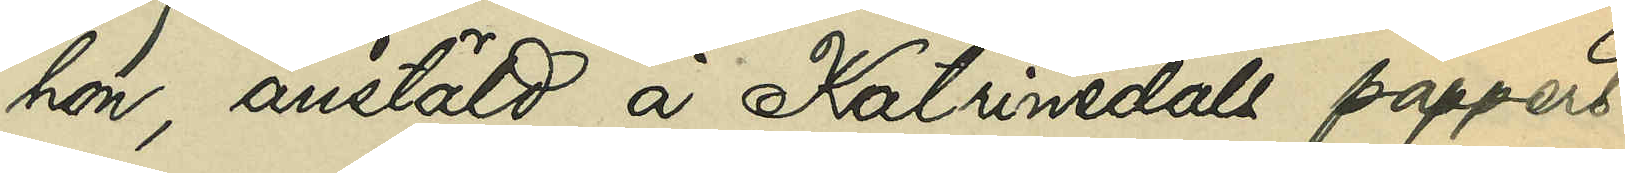hon, anstäld å Katrinedals pappers¬
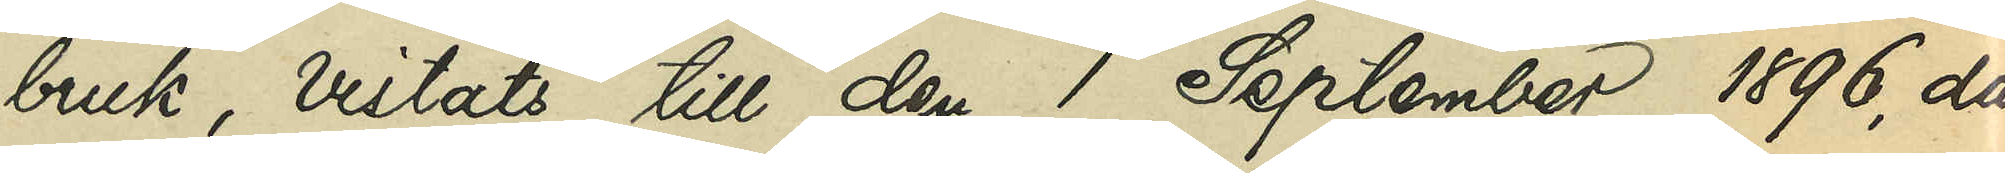bruk, vistats till den 1 September 1896, då
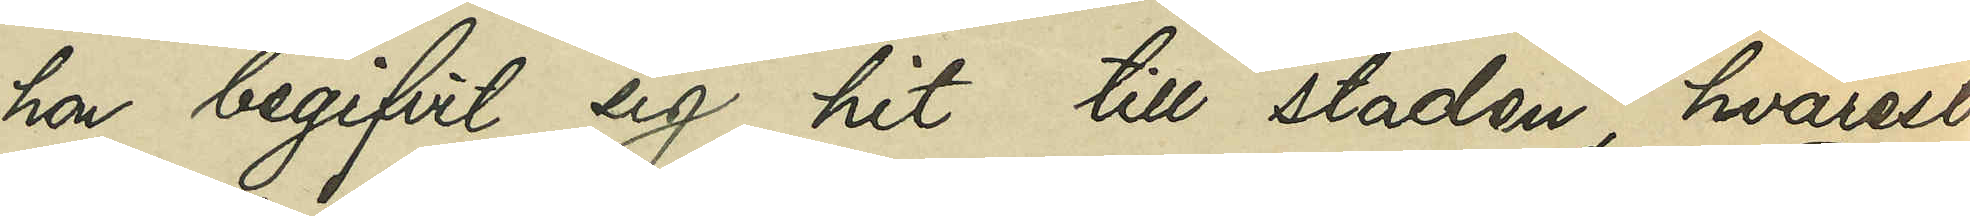hon begifvit sig hit till staden, hvarest
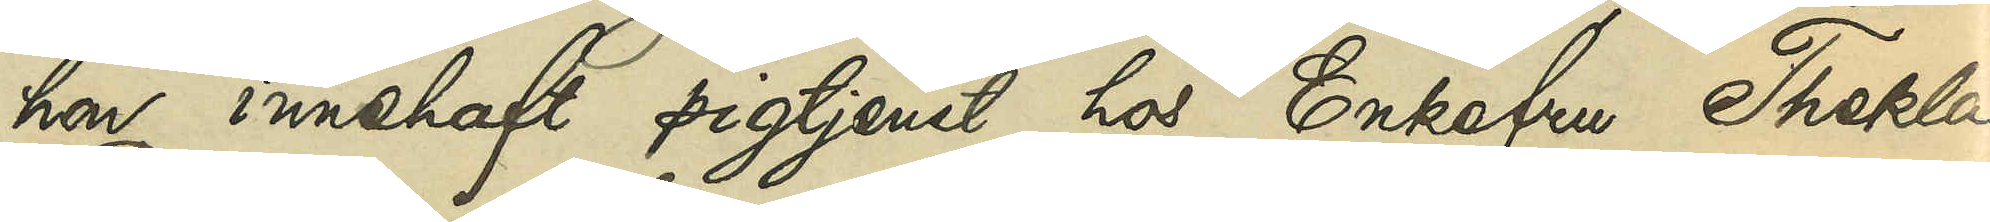hon innehaft pigtjenst hos Enkefru Thekla
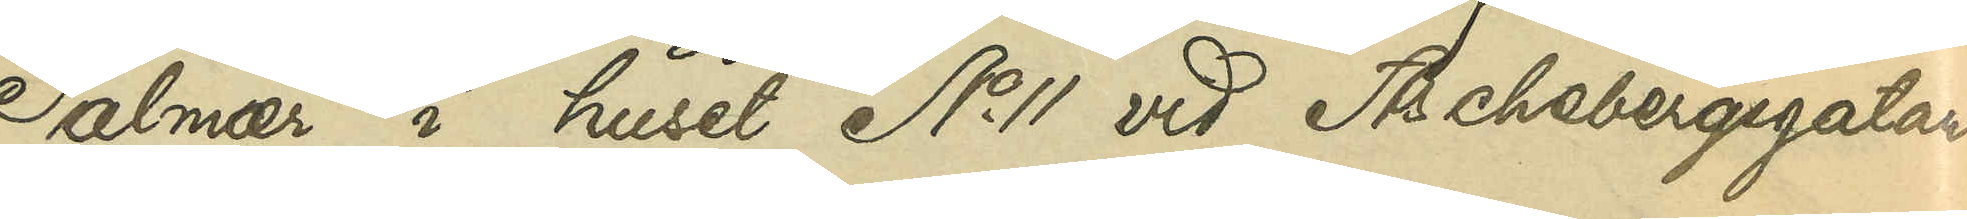Palmaér i huset No 11 vid Aschebergsgatan
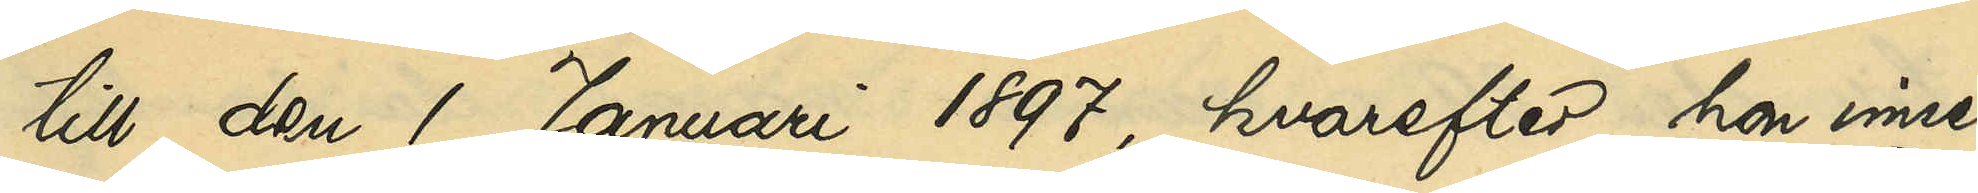till den 1 Januari 1897, hvarefter hon inne¬
